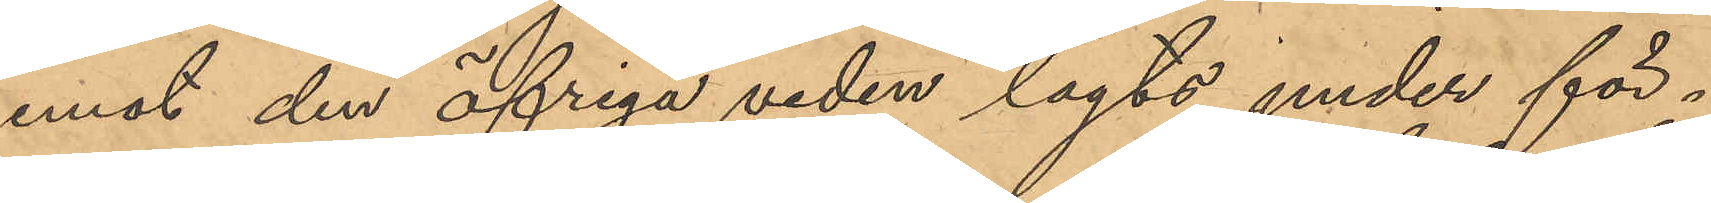emot den öfriga veden lagts under för¬
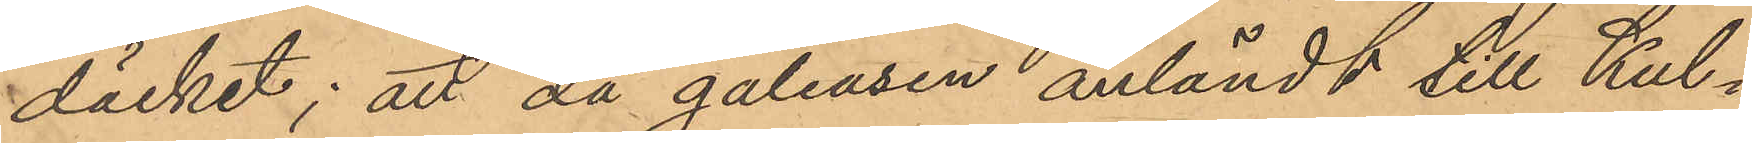däcket; att då galeasen anländt till Kul¬
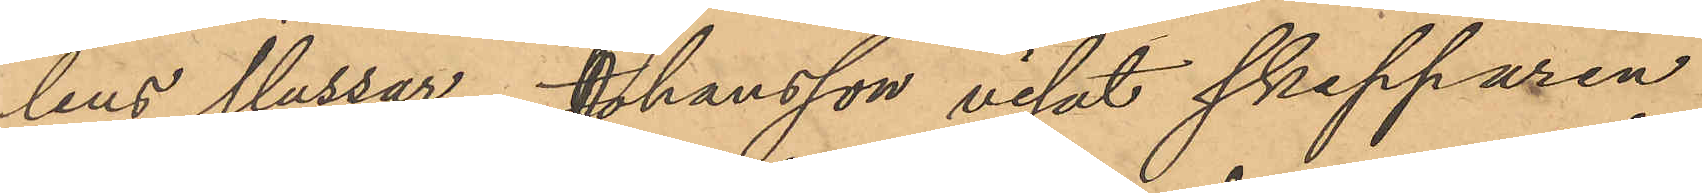lens slussar, Johansson visat skepparen
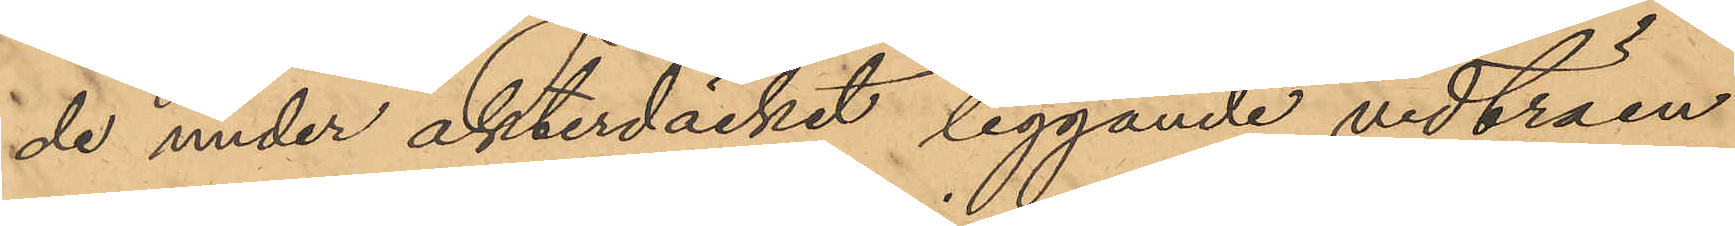de under akterdäcket liggande vedträen
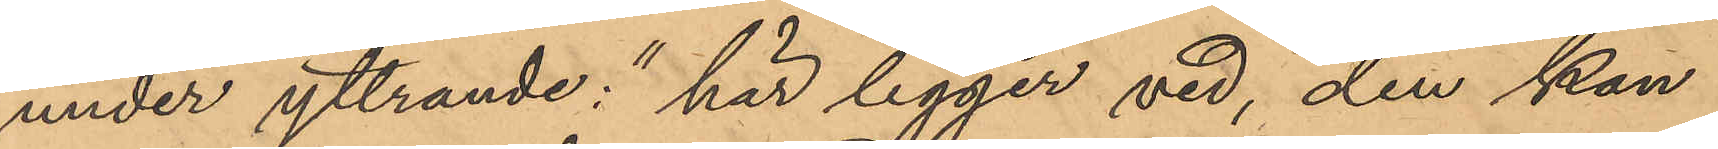under yttrande: "här ligger ved, den kan
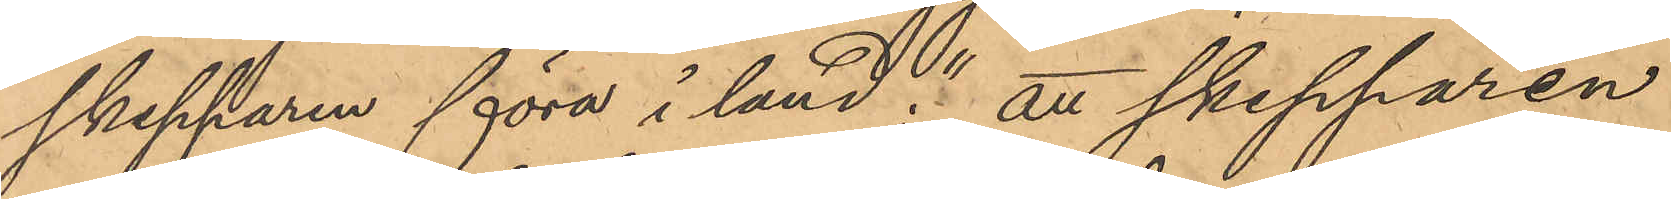skepparen föra i land"; att skepparen
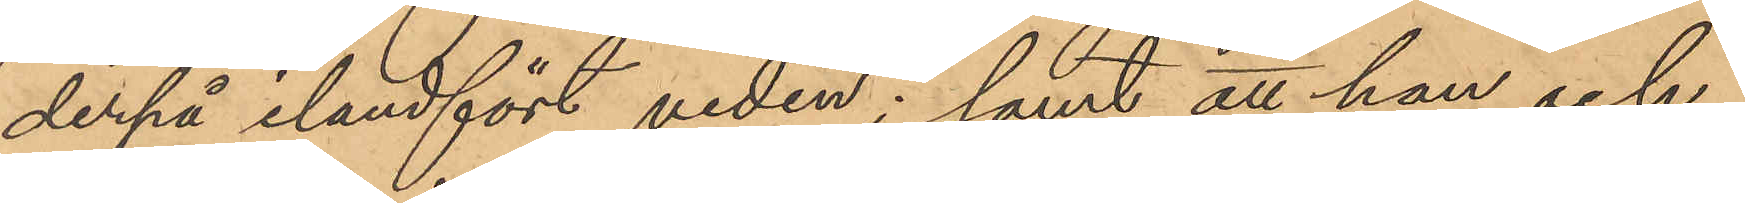derpå ilandfört veden; samt att han och
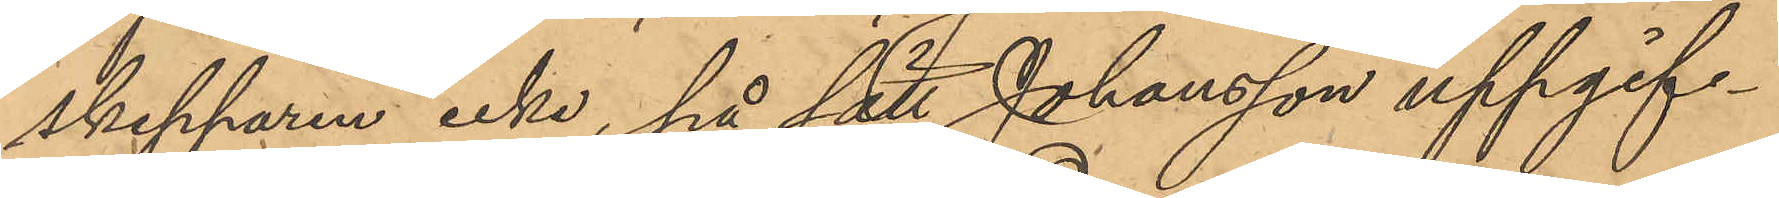skepparen icke, på sätt Johansson uppgif¬
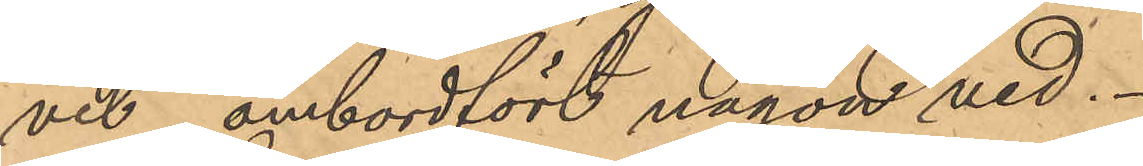vit, ombordfört någon ved.
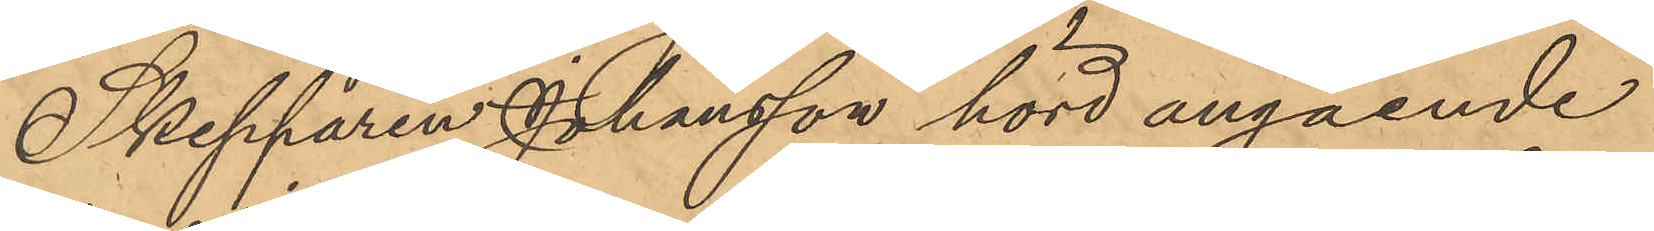Skepparen Johansson hörd angående
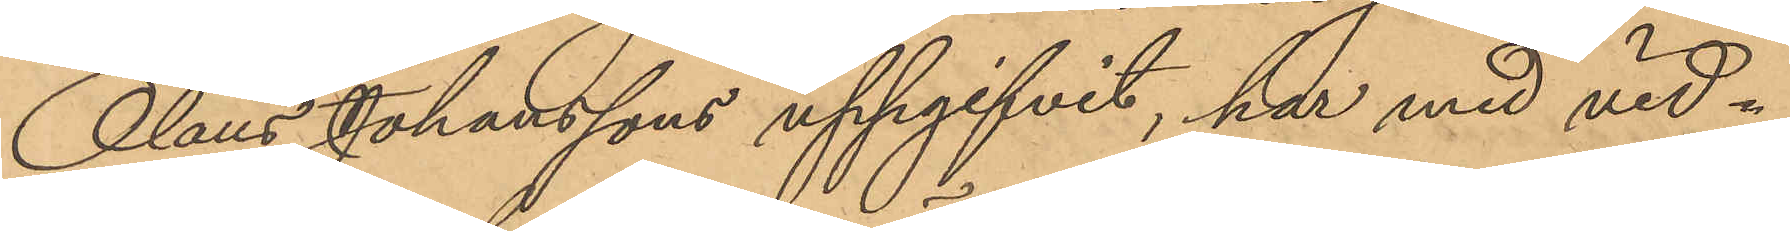Olaus Johanssons uppgifvit, har med vid¬
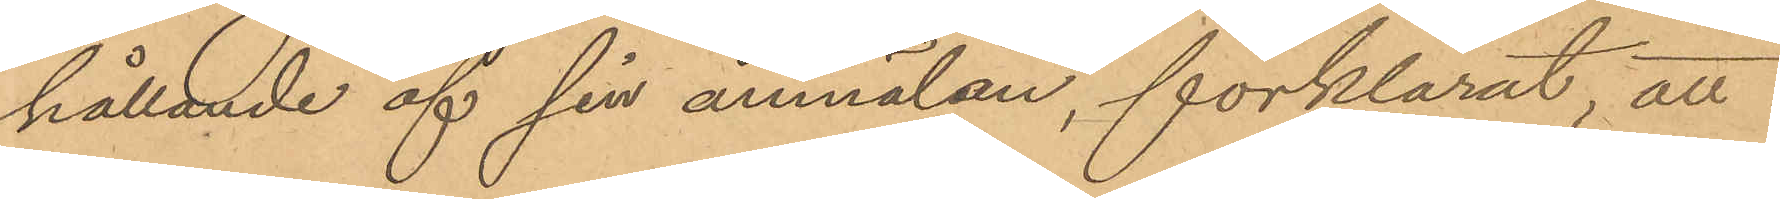hållande af sin anmälan, förklarat, att
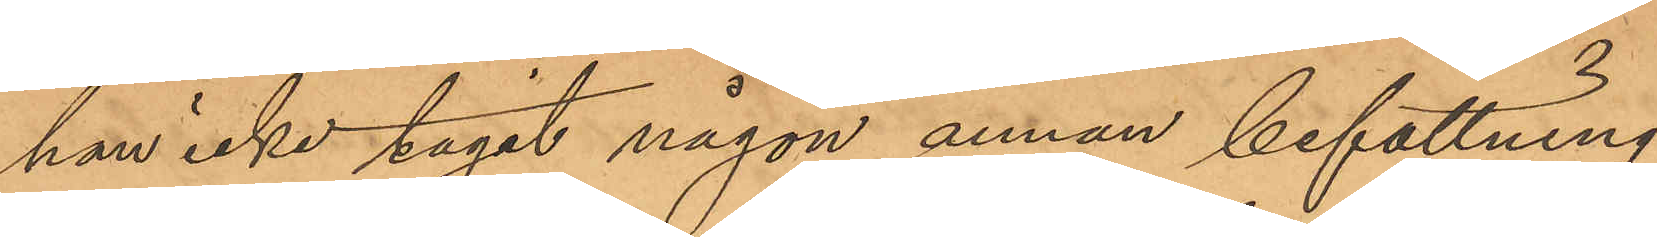han icke tagit någon annan befattning
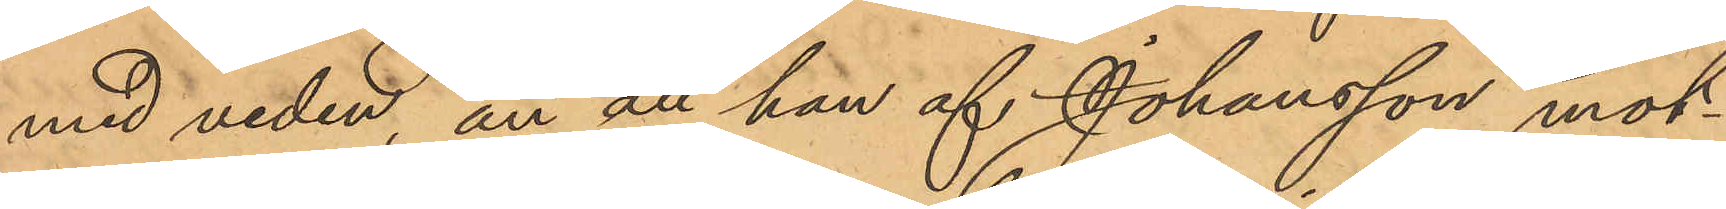med veden, än att han af Johansson mot¬
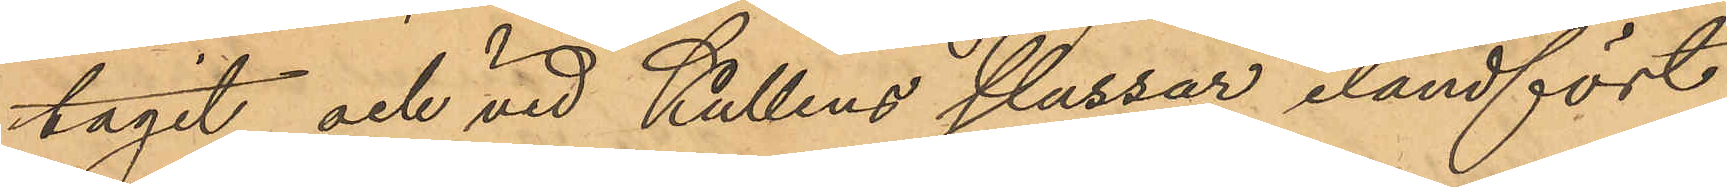tagit och vid Kullens slussar ilandfört
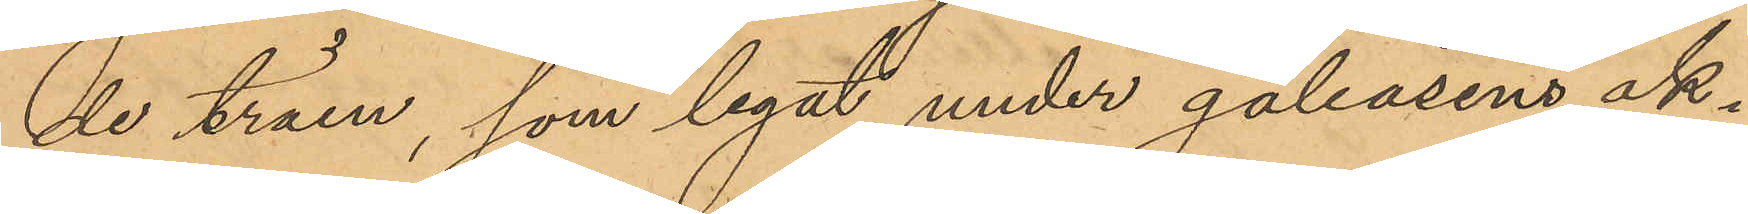de träen, som legat under galeasens ak¬
